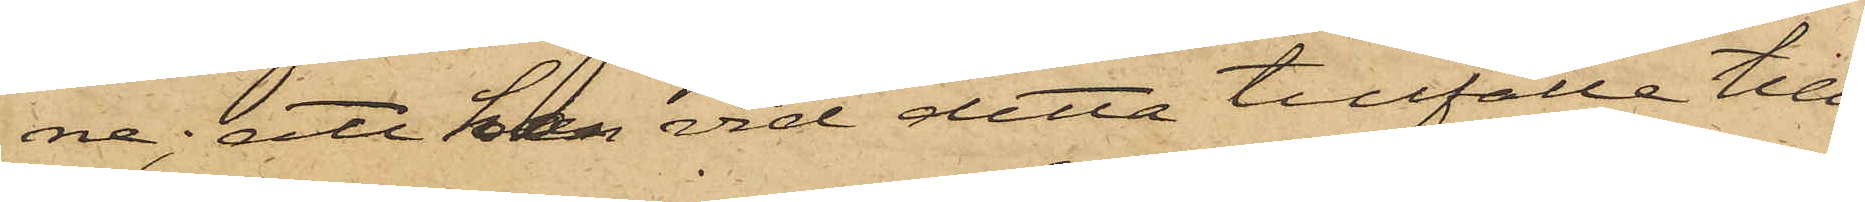ne; att han vid detta tillfälle till¬
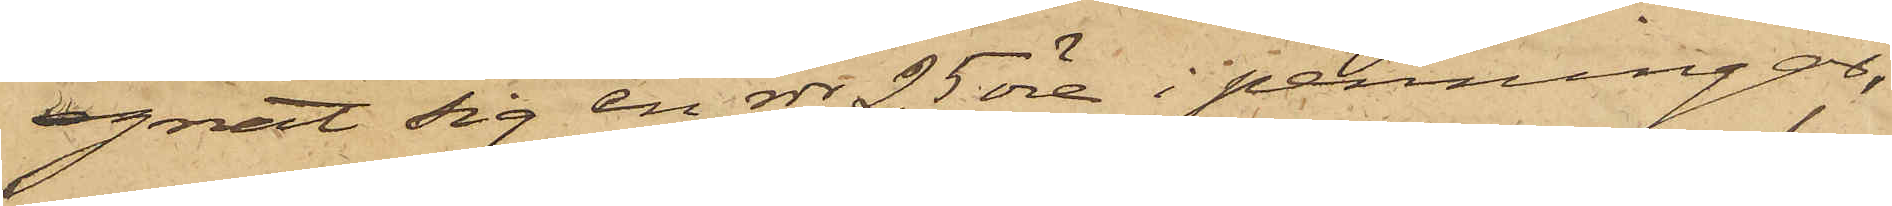egnat sig en rdr 25 öre i penningar,
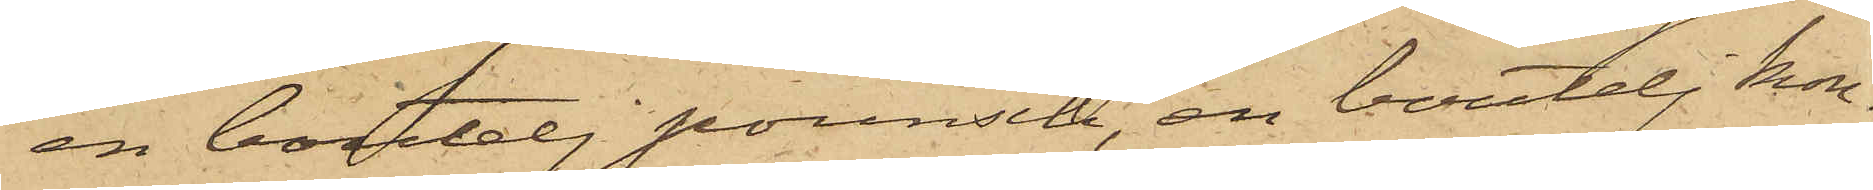en boutelj pounsch, en boutelj kon¬
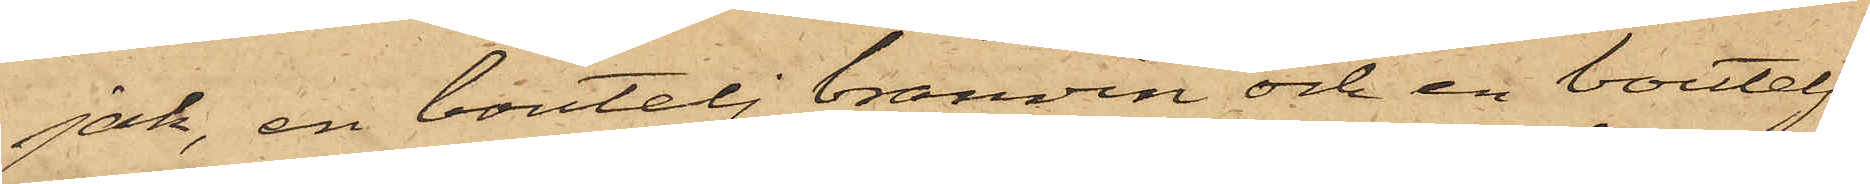jak, en boutelj bränvin och en boutelj
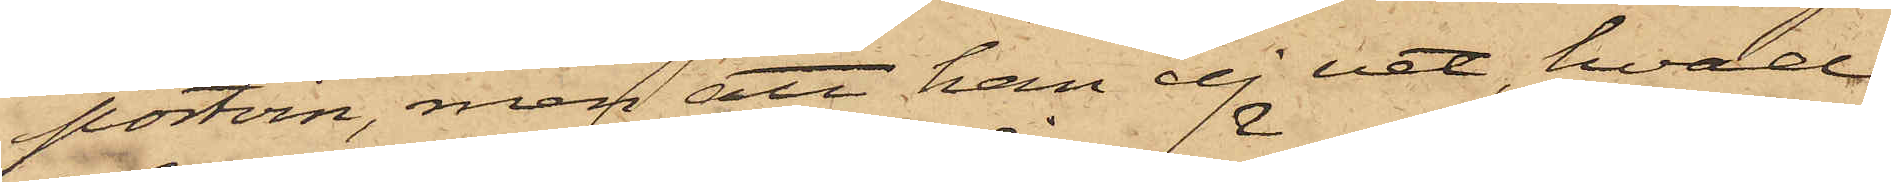portvin, men att han ej vet, hvad
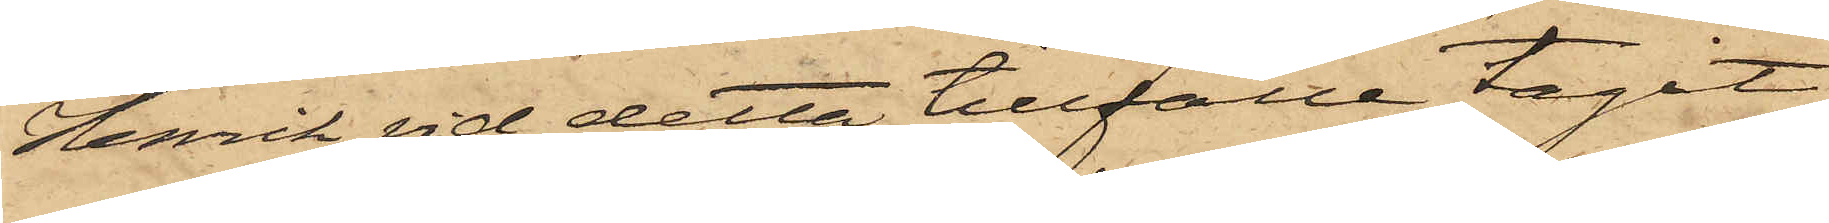Henrik vid detta tillfälle tagit;
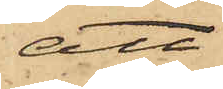att
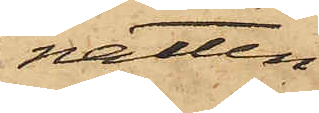natten
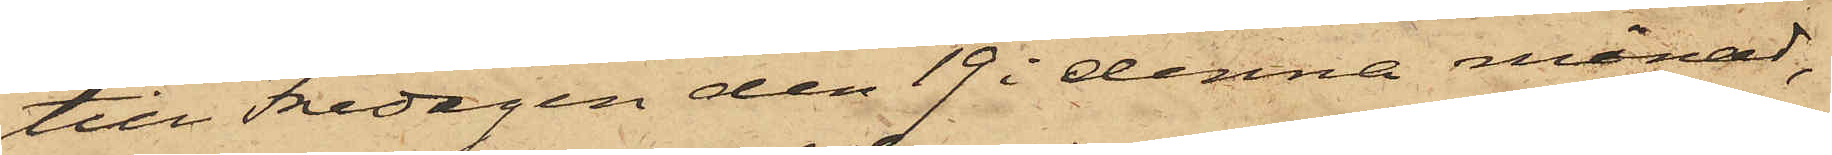till Fredagen den 19 i denna månad,
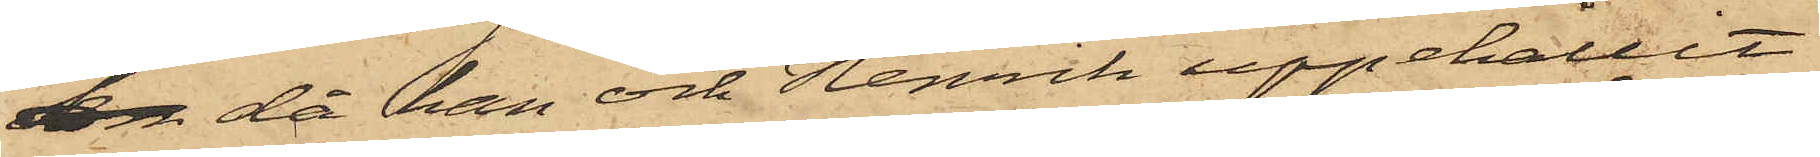 då han och Henrik uppehållit
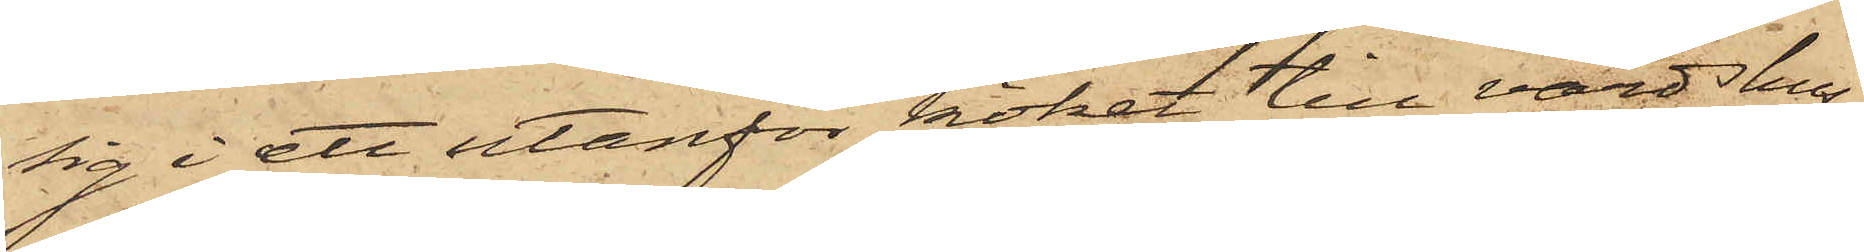sig i ett utanför köket till värdshus¬
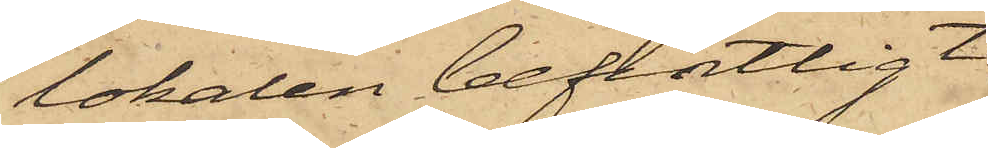lokalen befintligt
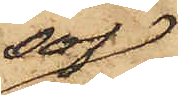sof¬
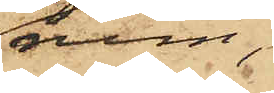rum,
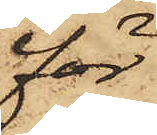för
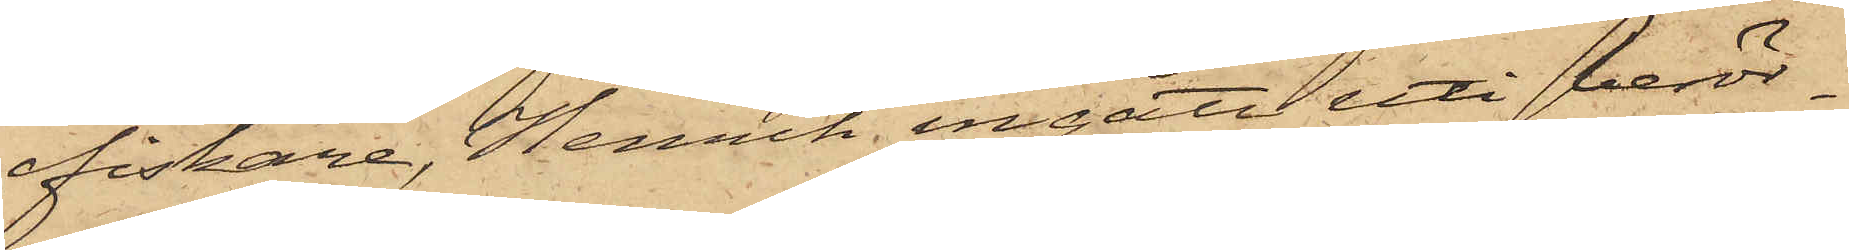fiskare, Henrik ingått uti berör¬
